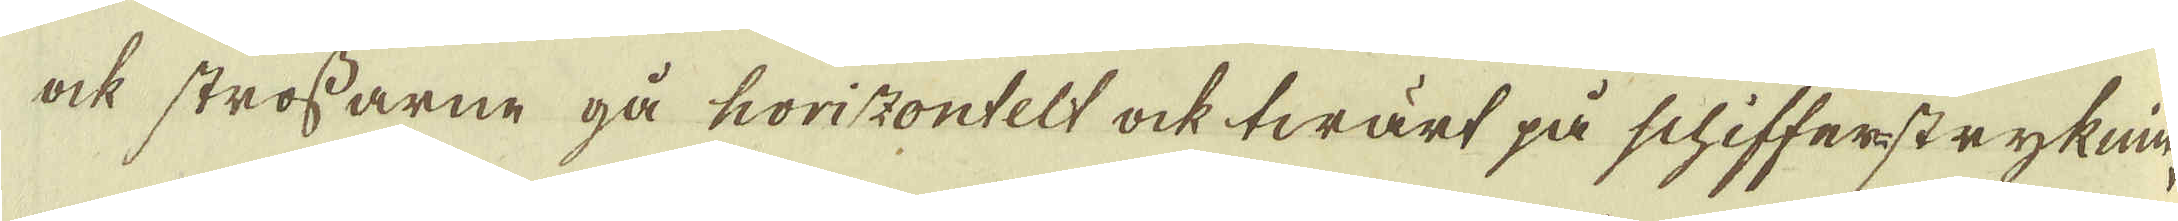ock strossarne gå horizontelt ock twärt på schifferstryknin-
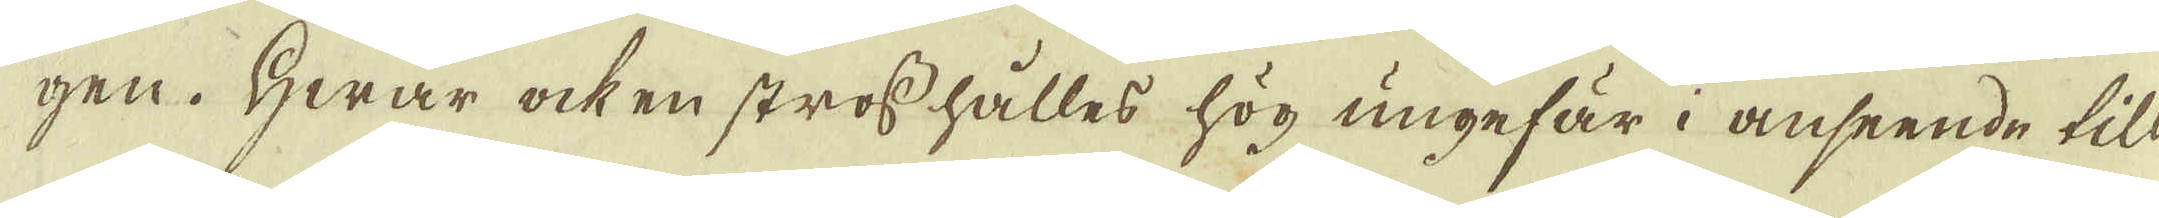gen. Hwar ock en stross hålles hög ungefär i anseende till
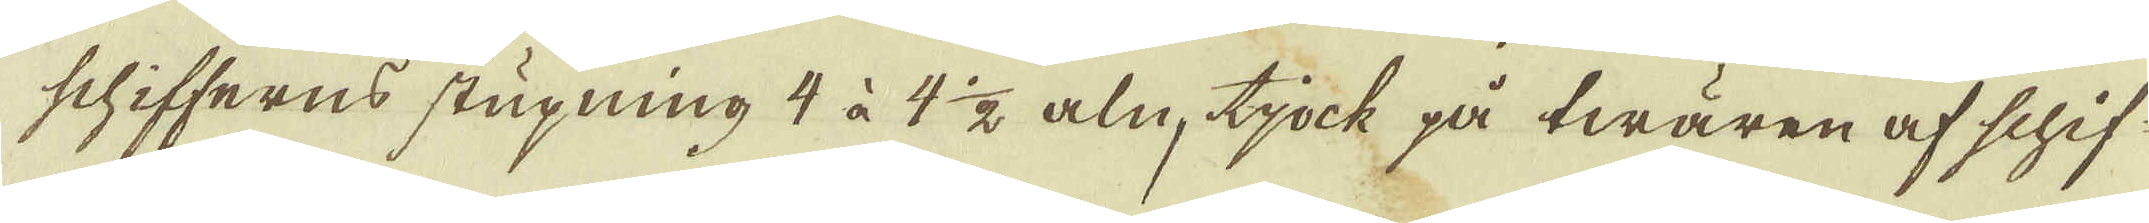schifferns stupning 4 à 4 1/2 aln, tjock på twären af schif-
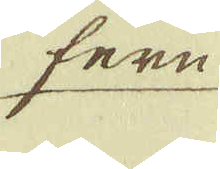fern
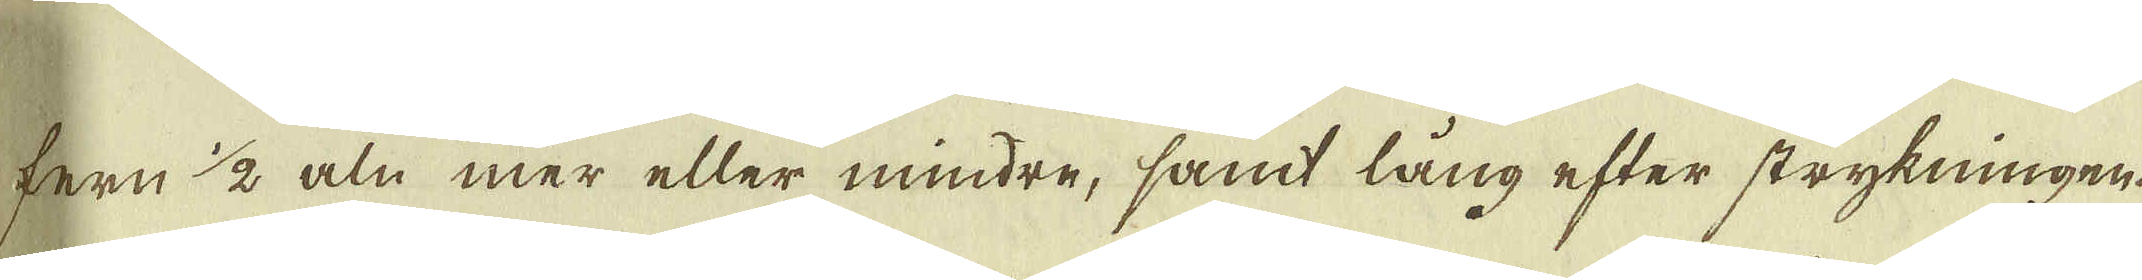fern 1/2 aln mer eller mindre, samt lång efter strykningen
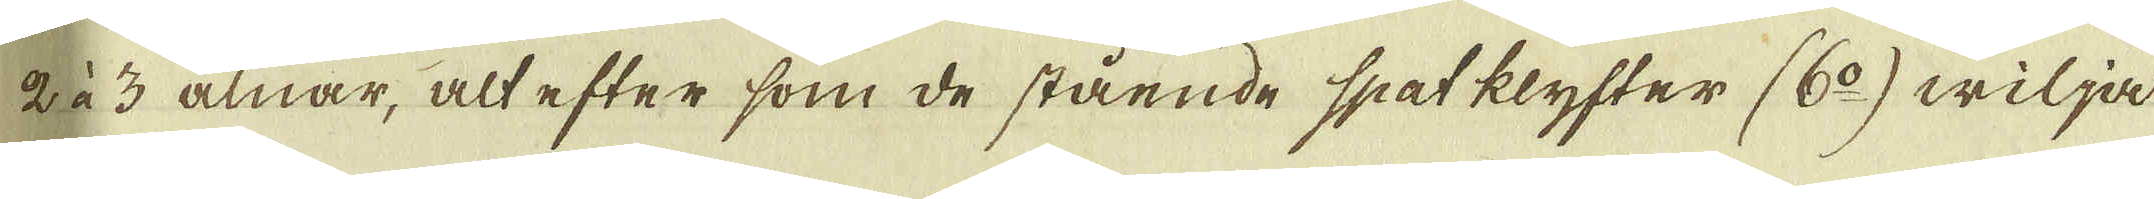2 à 3 alnar, alt efter som de stående spatklyfter (6:o) wilja
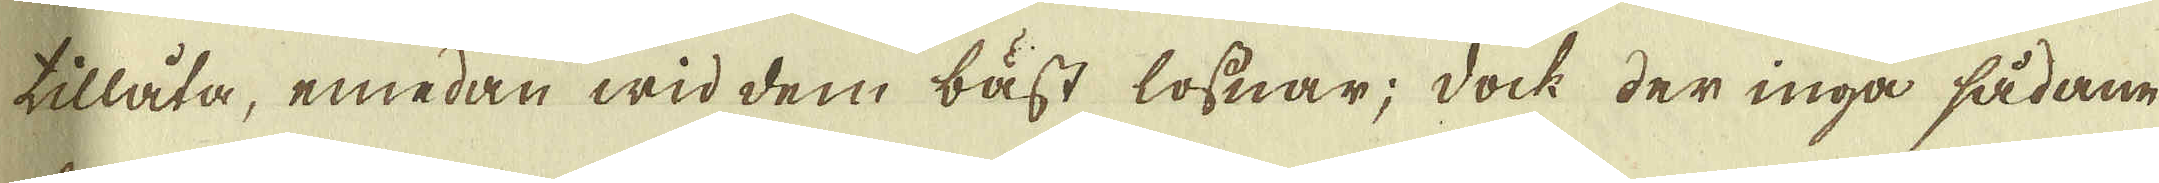tillåta, emedan wid dem bäst lossnar; dock der inga sådane
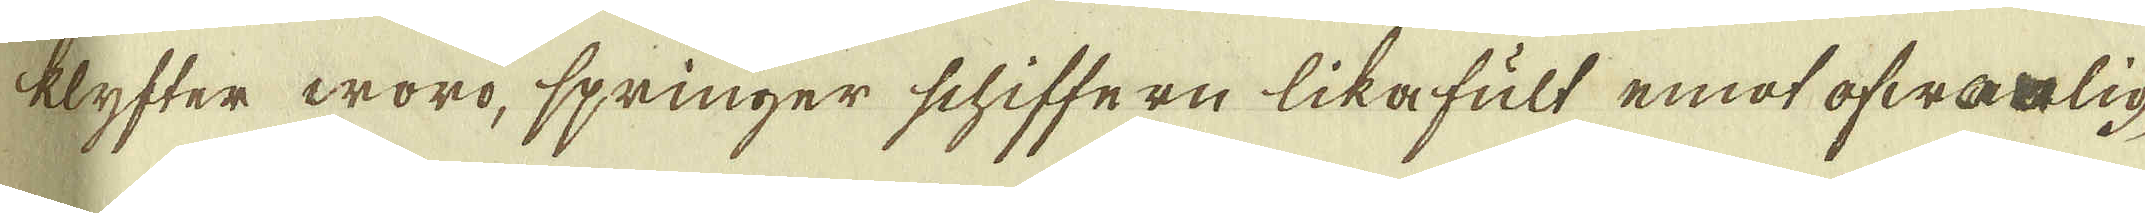klyfter woro, springer schiffern likafult emot ofwanlig-
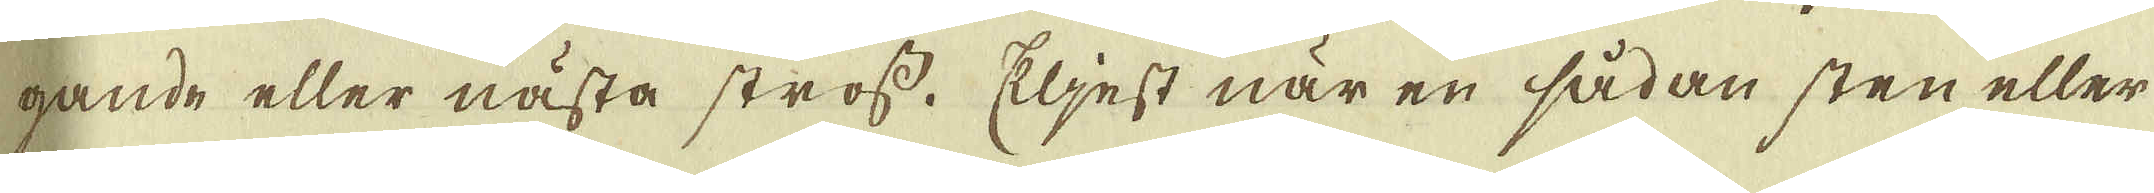gande eller nästa stross. Eljest när en sådan sten eller
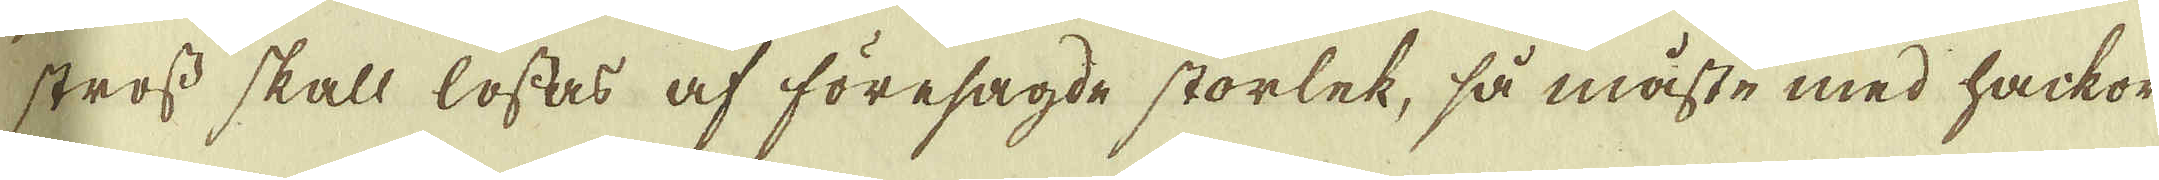stross skall lossas af föresagde storlek, så måste med hackor
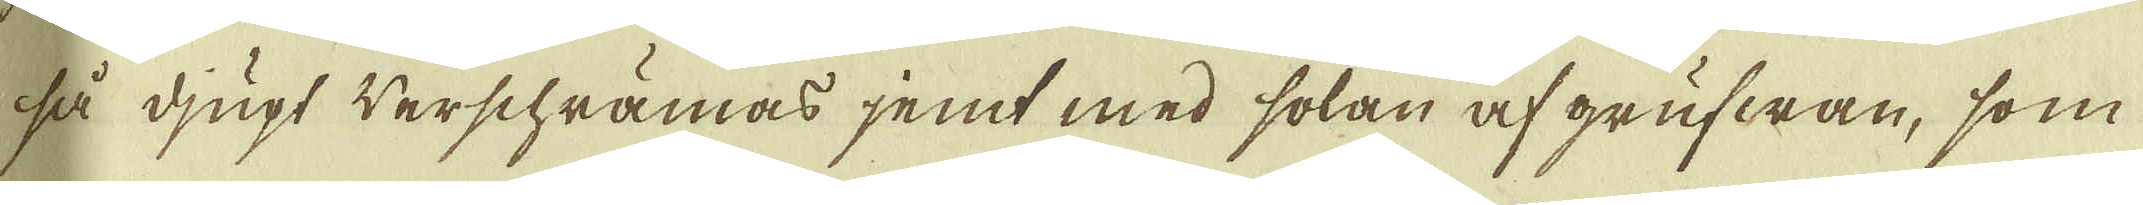så djugt werschrämas jemt med solan af grufwan, som
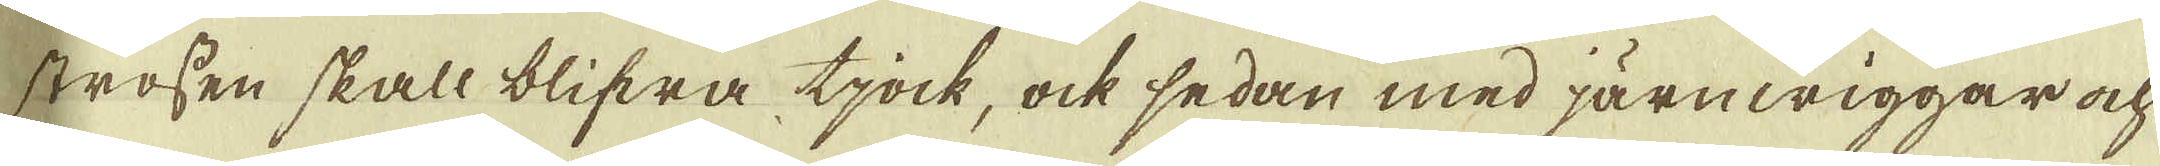strossen skall blifwa tjock, ock sedan med järnwiggar och
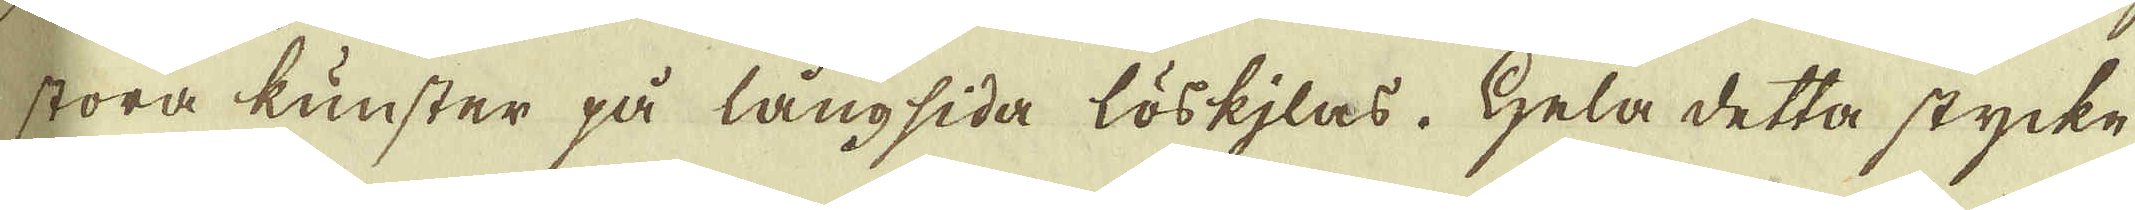stora kunster på långsida löskjlas. Hela detta stycke
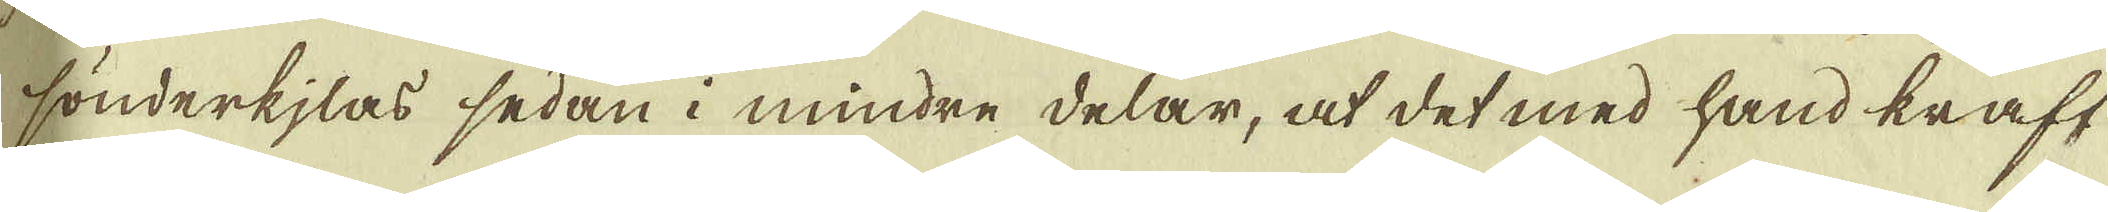sönderkjlas sedan i mindre delar, at det med hand kraft
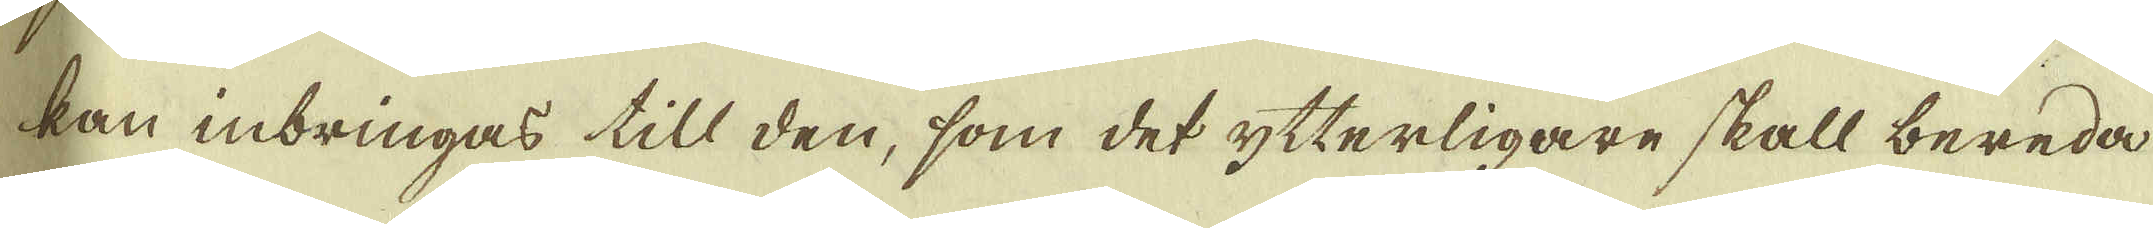kan inbringas till den, som det ytterligare skall bereda
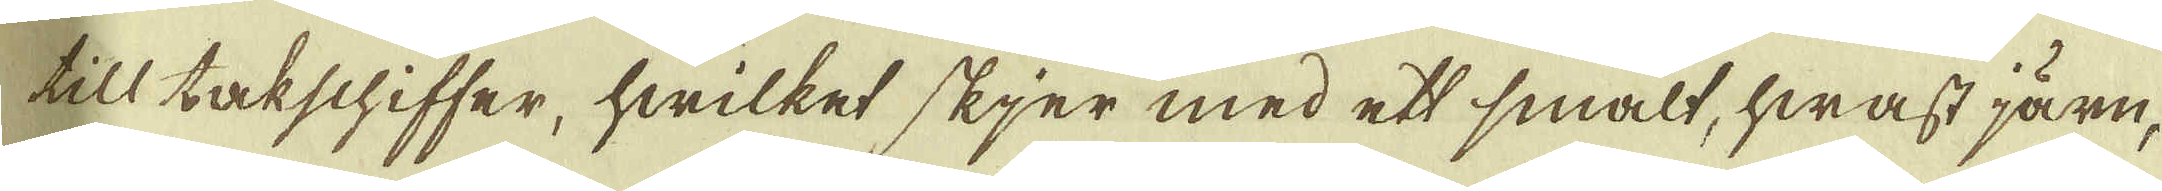till takschiffer, hwilket skjer med ett smalt, hwast järn,
